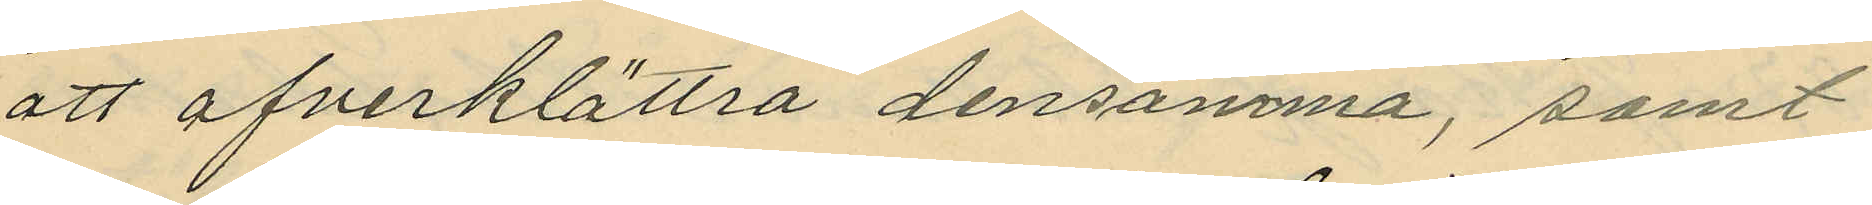att öfverklättra densamma, samt
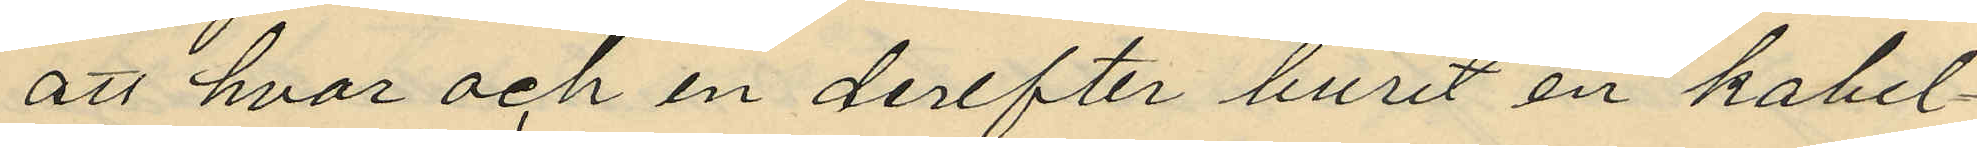att hvar och en derefter burit en kabel¬
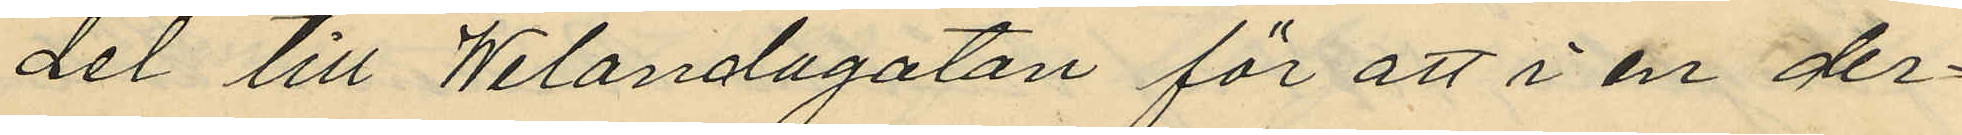del till Welandagatan för att i en der¬
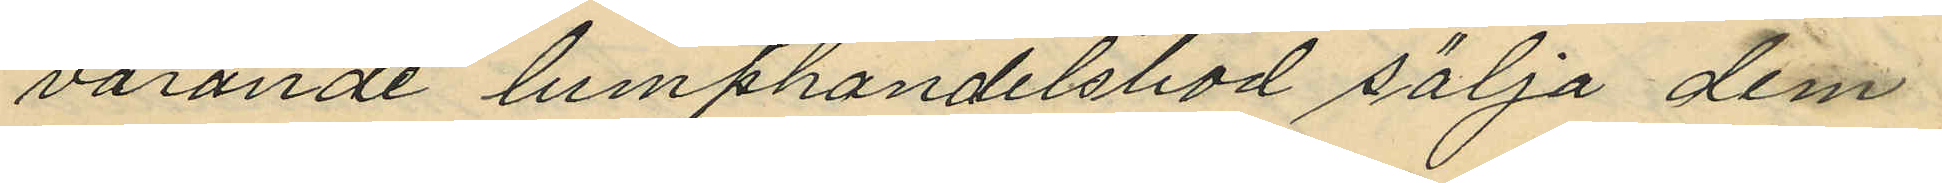varande lumphandelsbod sälja dem
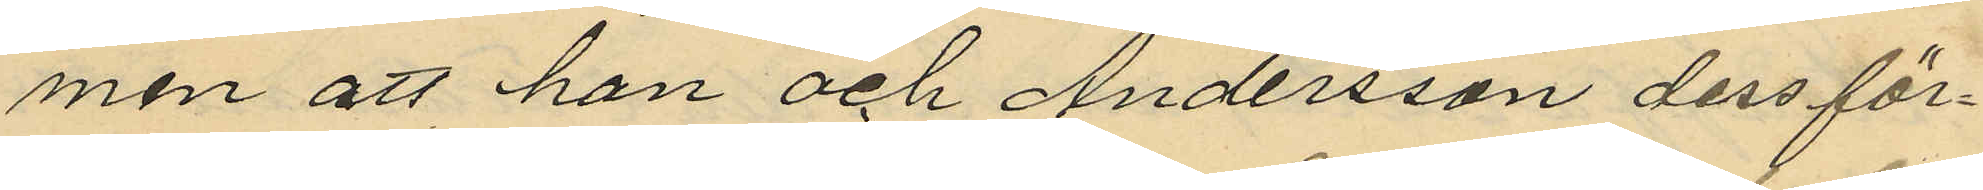men att han och Andersson dess för¬
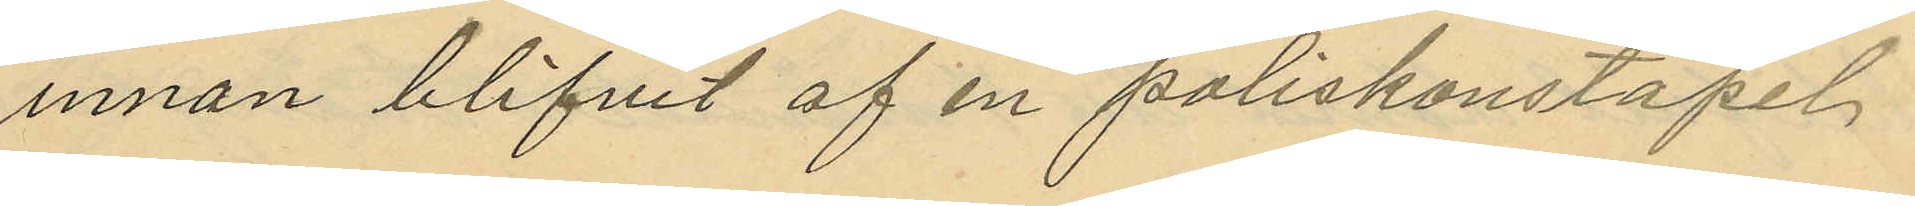innan blifvit af en poliskonstapel
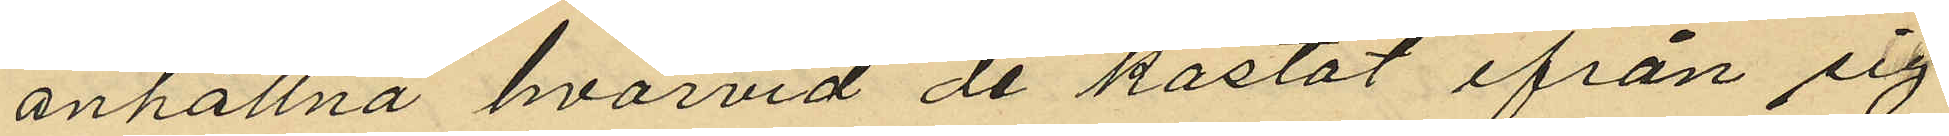anhållna hvarvid de kastat ifrån sig
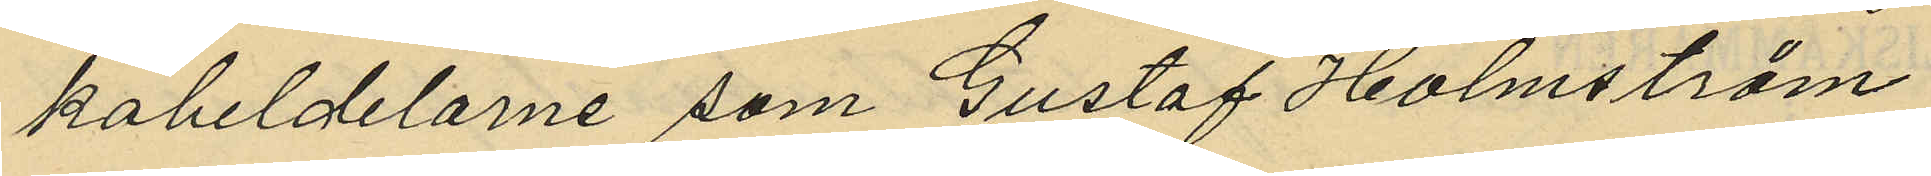kabeldelarne som Gustaf Holmström
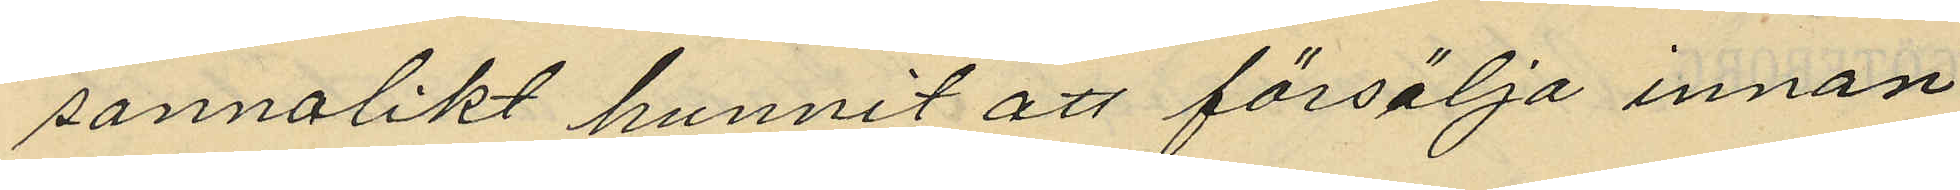sannolikt hunnit att försälja innan
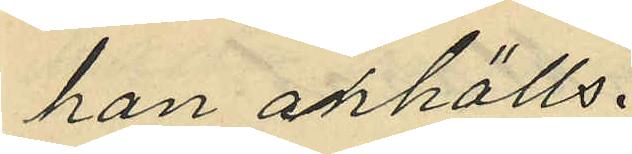han anhölls.
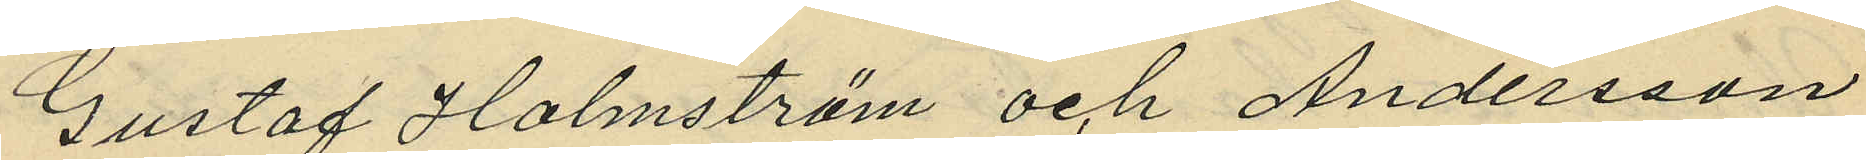Gustaf Holmström och Andersson
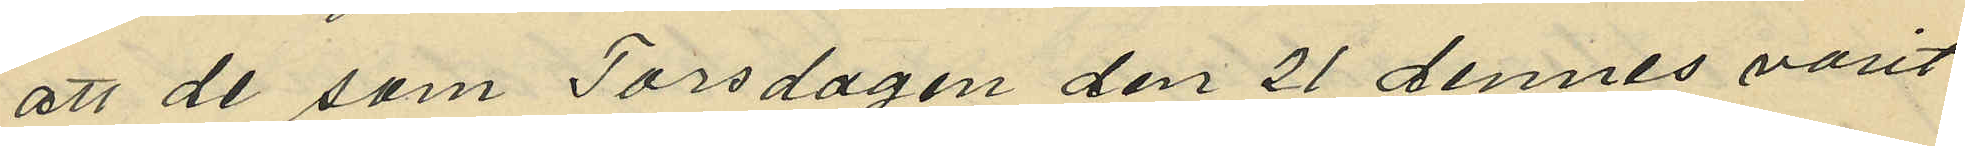att de som Torsdagen den 21 dennes varit
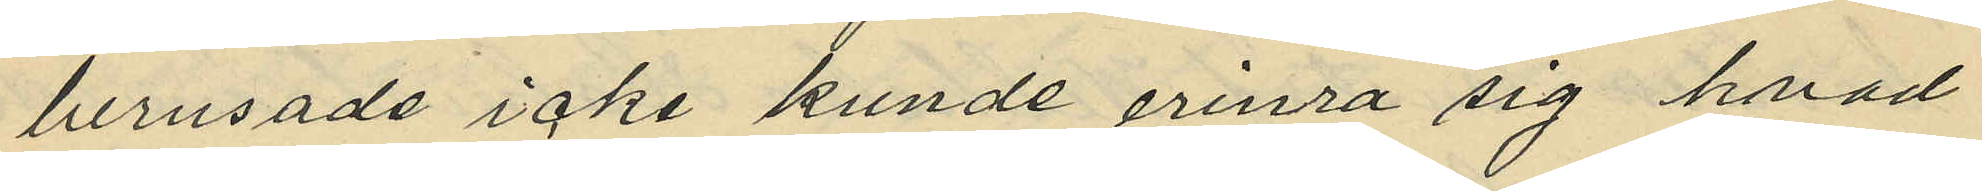berusade icke kunde erinra sig hvad
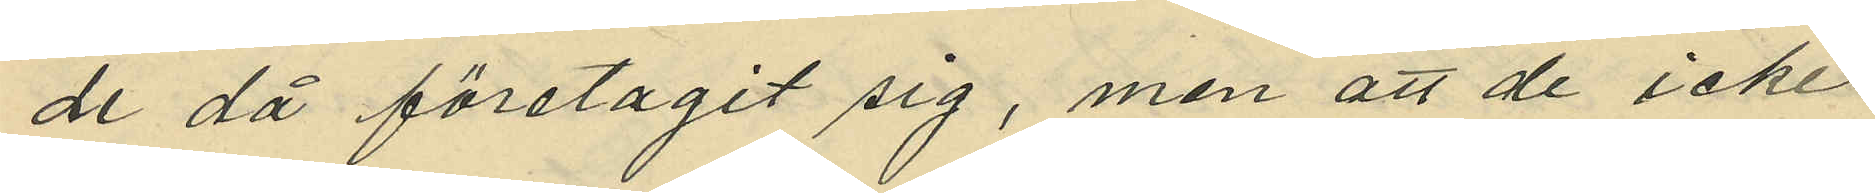de då företagit sig, men att de icke
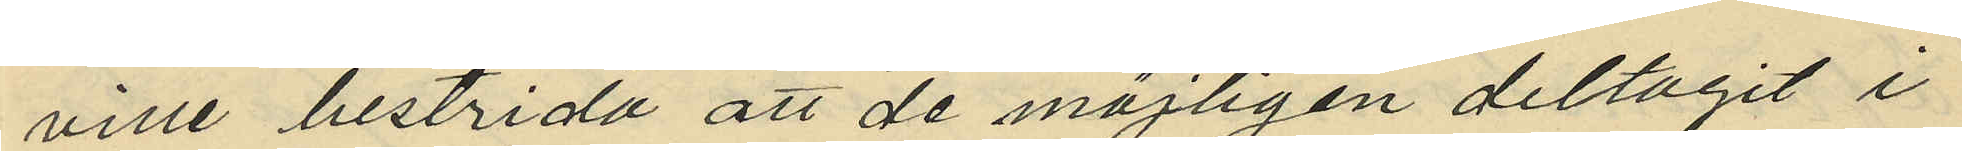ville bestrida att de möjligen deltagit i
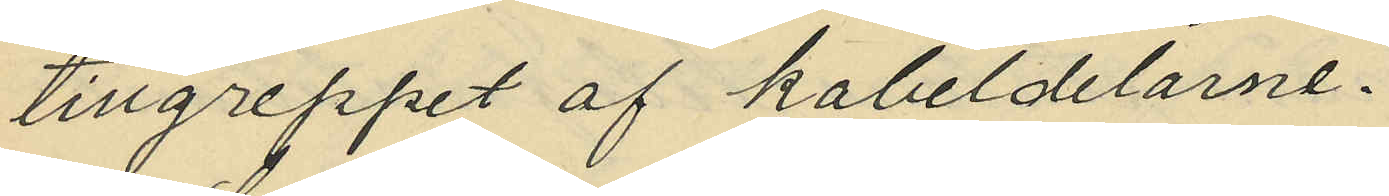tillgreppet af kabeldelarne.
